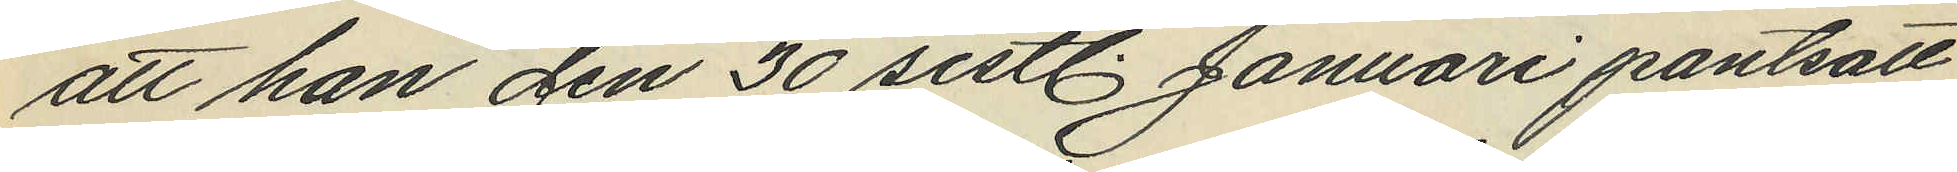att han den 30 sistl. Januari pantsatt
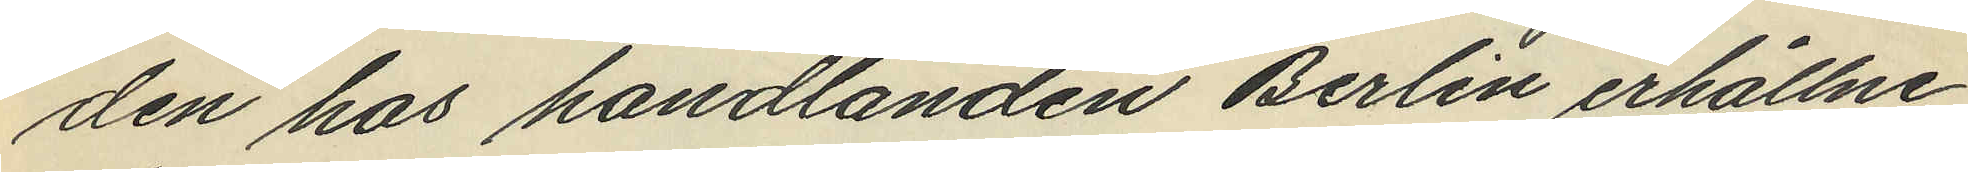den hos handlanden Berlin erhållne
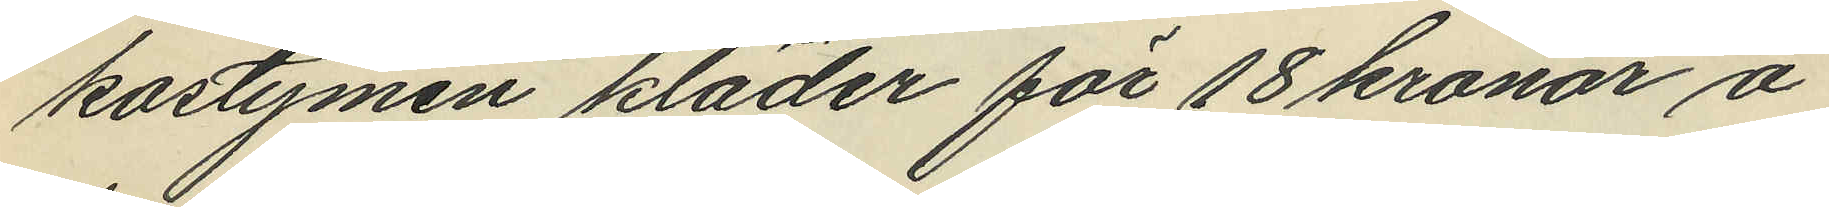kostymen kläder för 18 kronor å
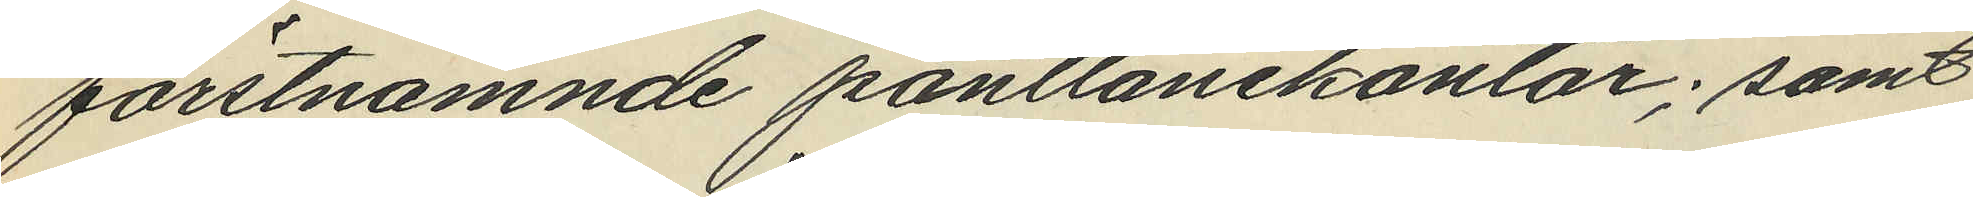förstnämnde pantlånekontor; samt
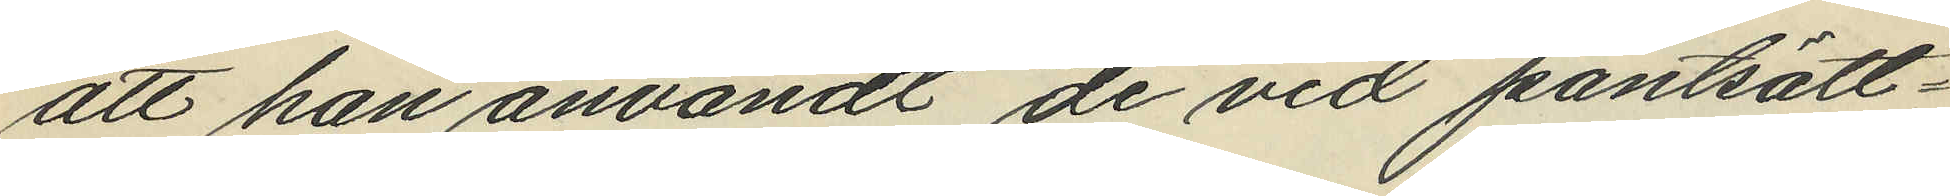att han användt de vid pantsätt¬
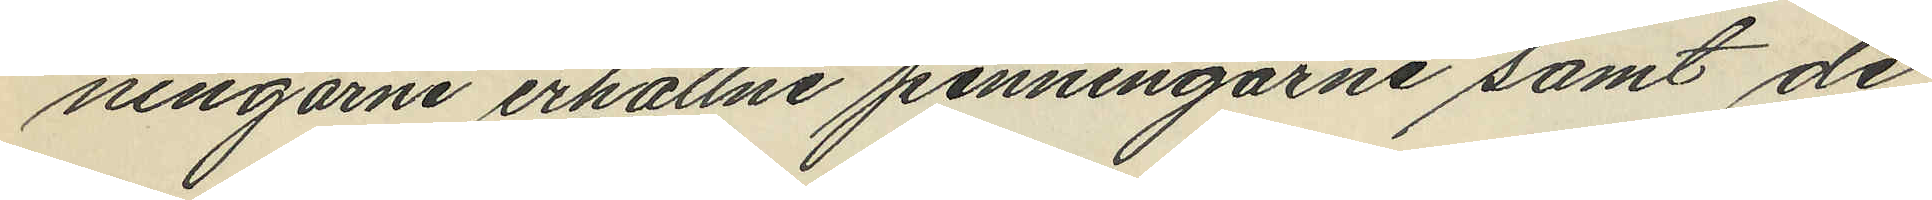ningarne erhållne penningarne samt de
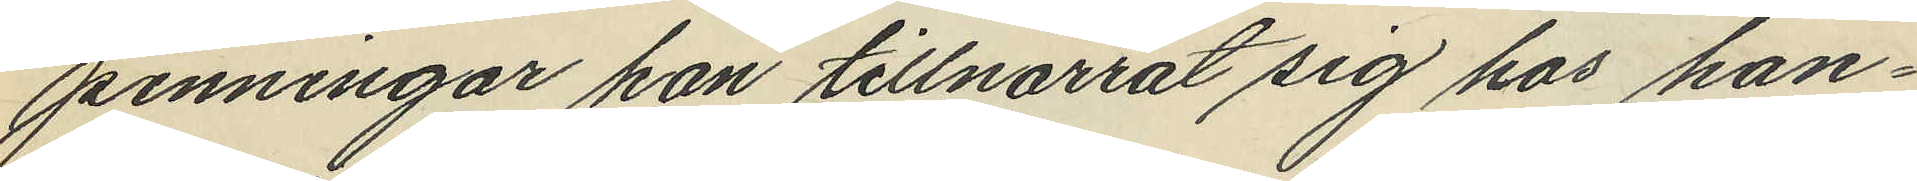penningar han tillnarrat sig hos han¬
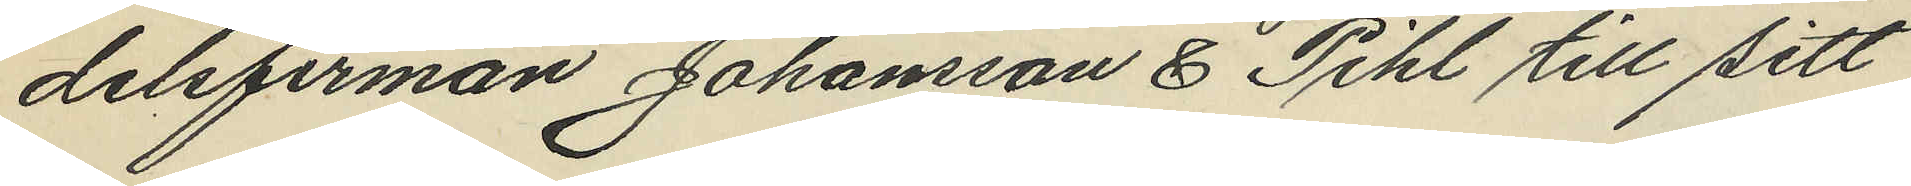delsfirman Johansson & Pihl till sitt
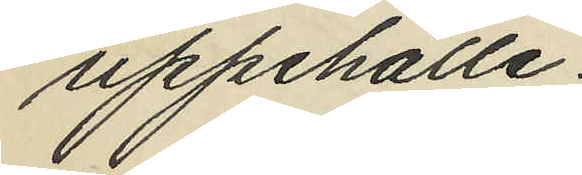uppehälle;
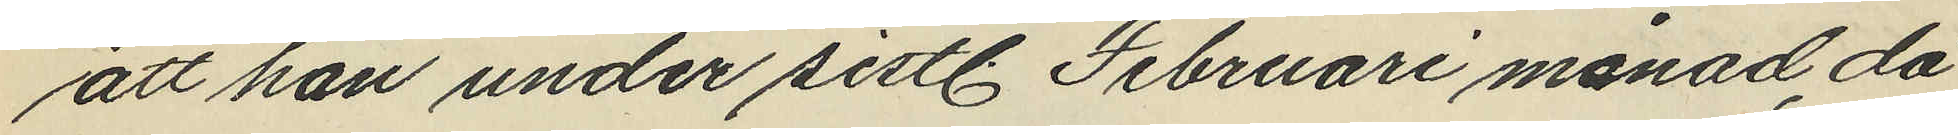att han under sistl. Februari månad då
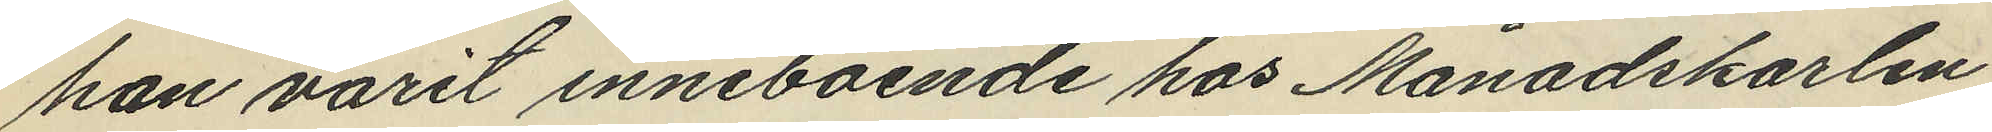han varit inneboende hos Månadskarlen
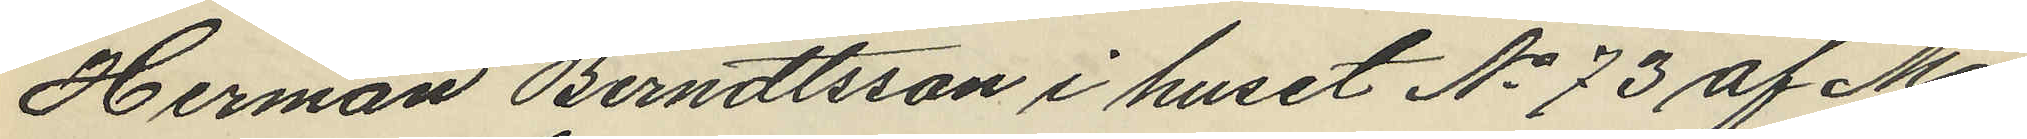Herman Berndtsson i huset No 73 af Ma¬
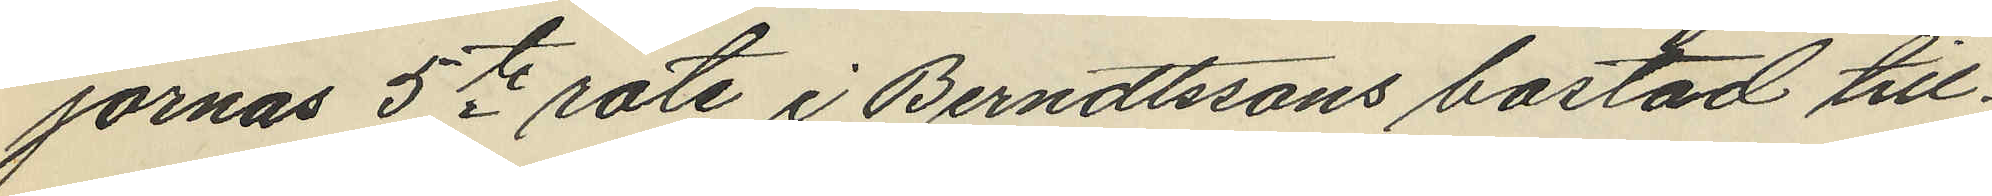jornas 5te rote i Berndtssons bostad till¬
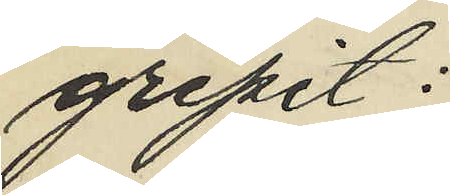gripit:
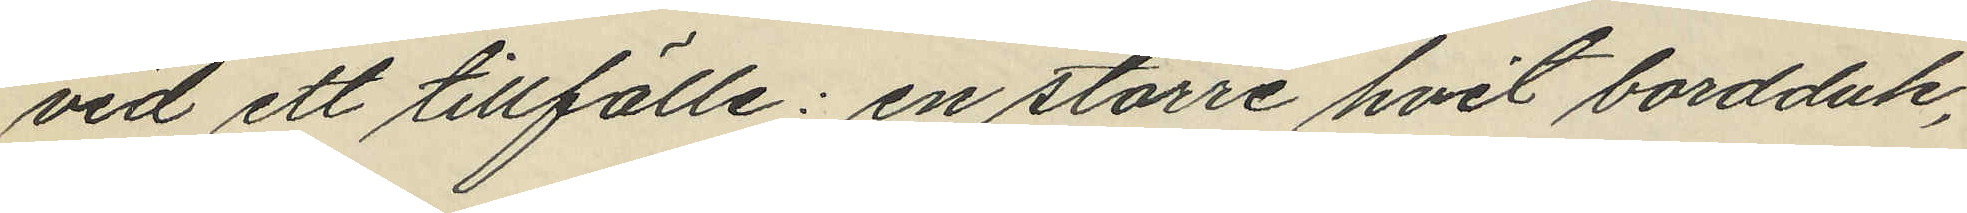vid ett tillfälle: en större hvit bordduk,
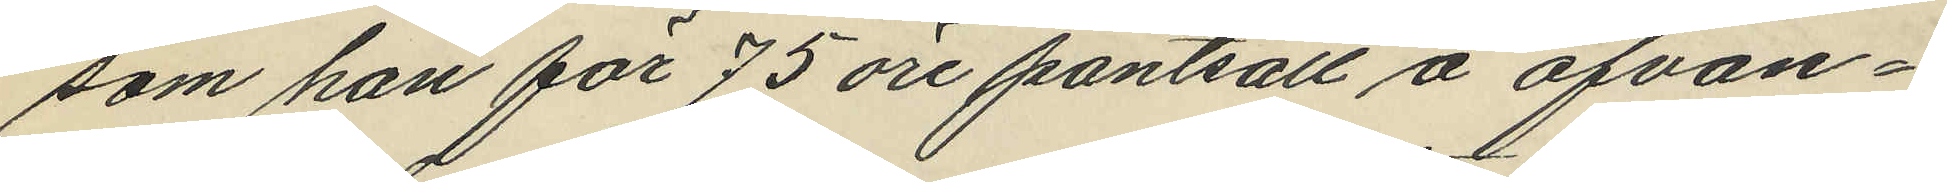som han för 75 öre pantsatt å ofvan¬
